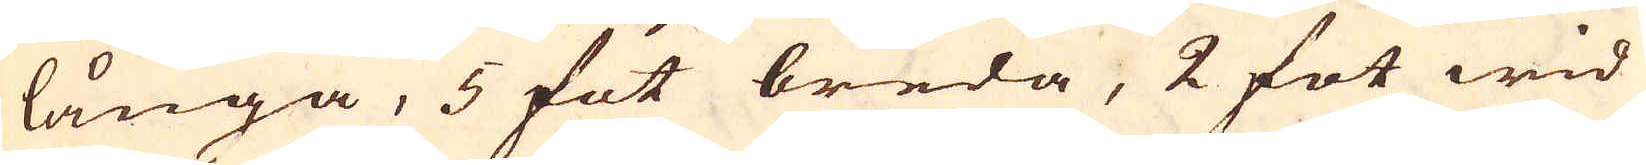långa, 5 fot breda, 2 fot wid
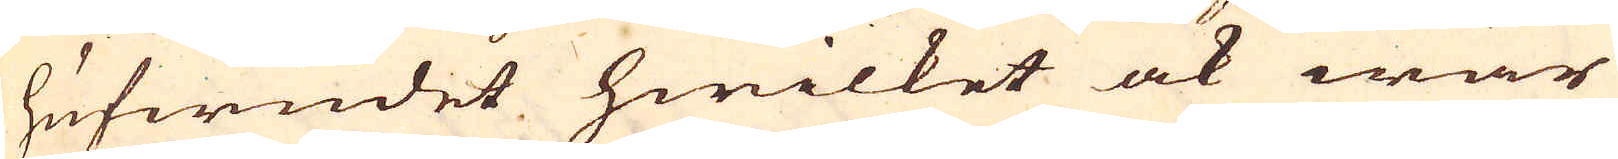hufwudet hwilket ock war
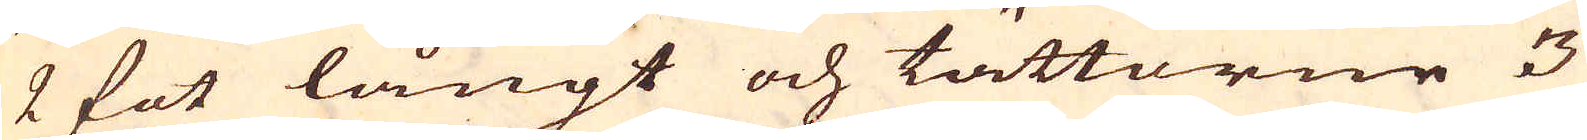2 fot långt och tättorne 3
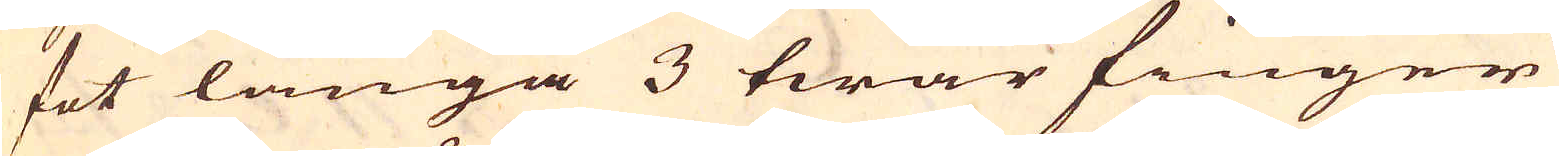fot långa 3 twär finger
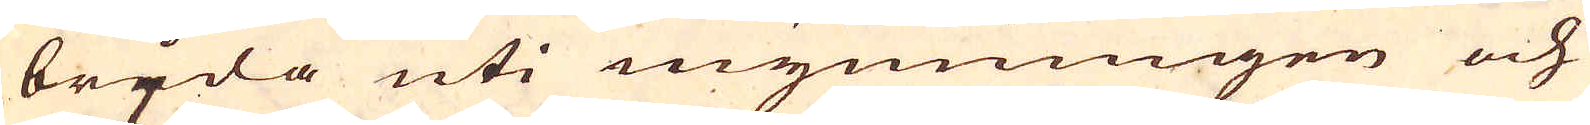breda uti mynningen och
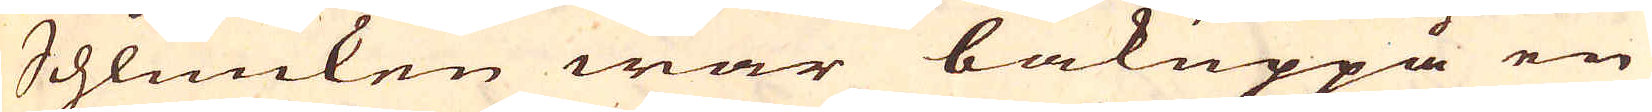Schlunken war bakuppå en
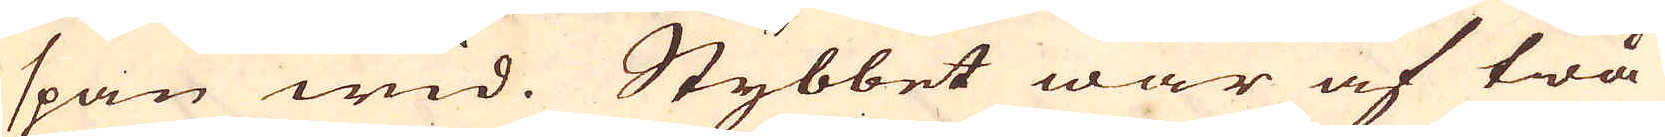span wid. Stybbet war af twå
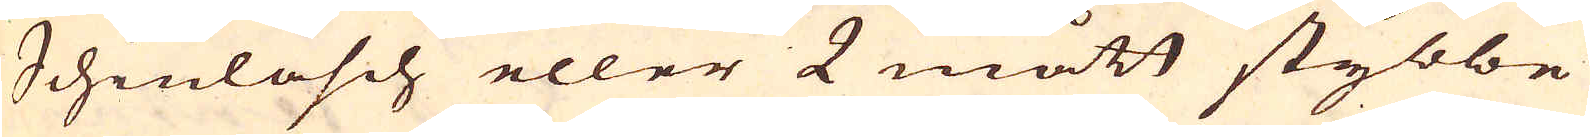Schinläsch eller 2 mått stybbe
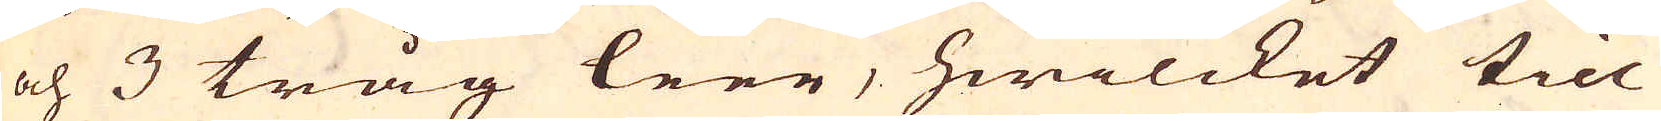och 3 tråg leer, hwilcket till
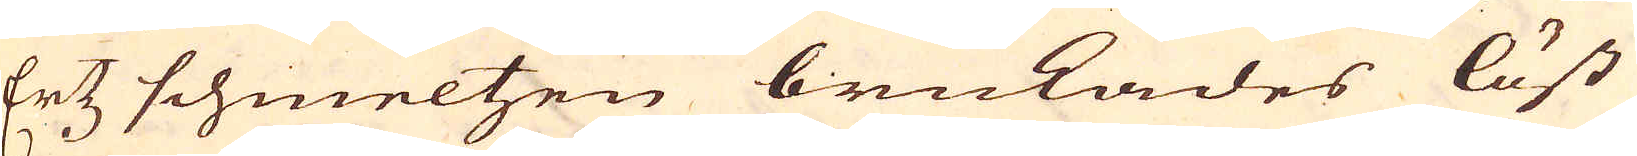Ertz schmeltzen brukades löst
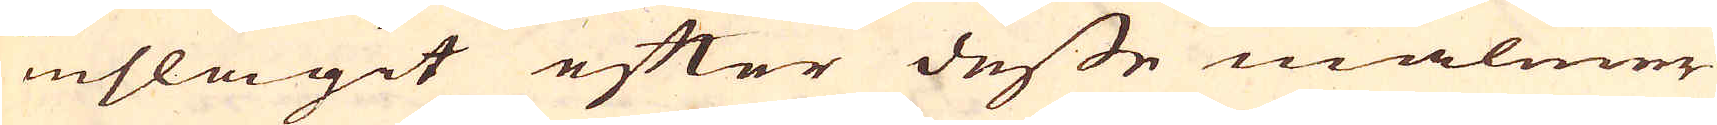inslagit efter desse malmer
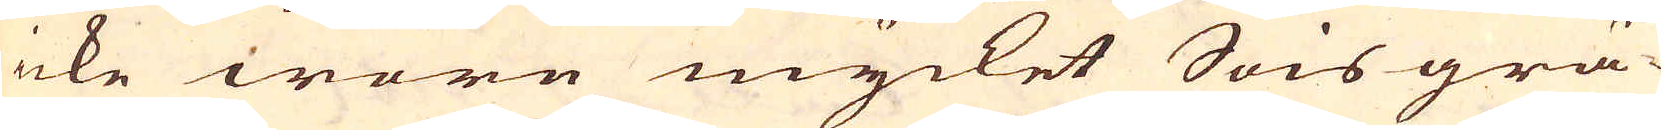icke wore mycket Snisgrä-
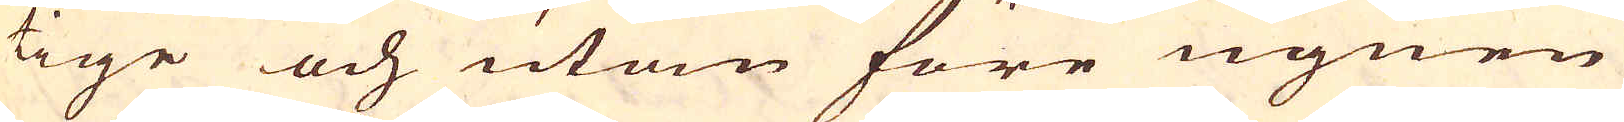tige och utan före ugnen
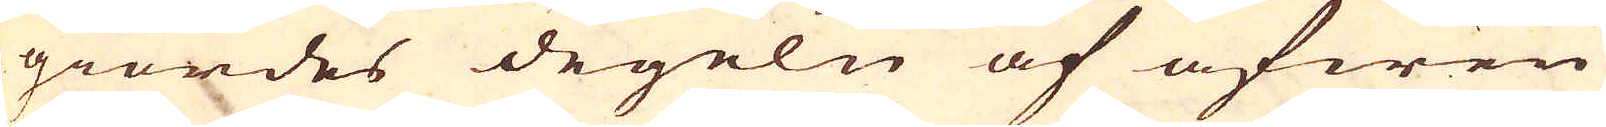giordes degeln af äfwen
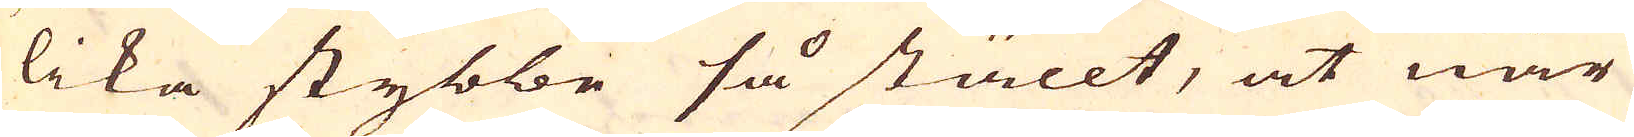lika stybbe så ställt, at när
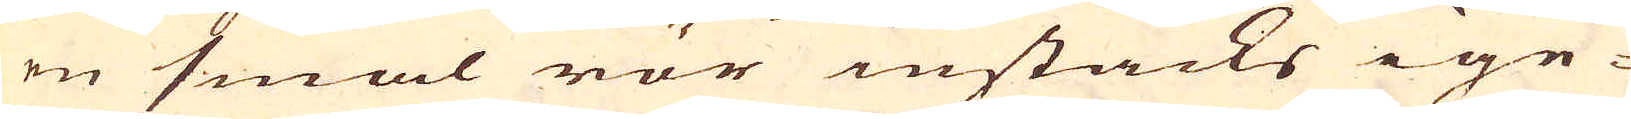en smal rör instacks ige-
